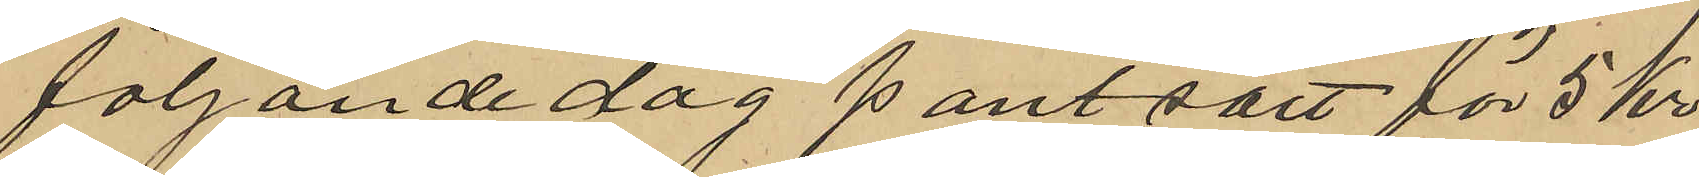följande dag pantsatt för 5 kr
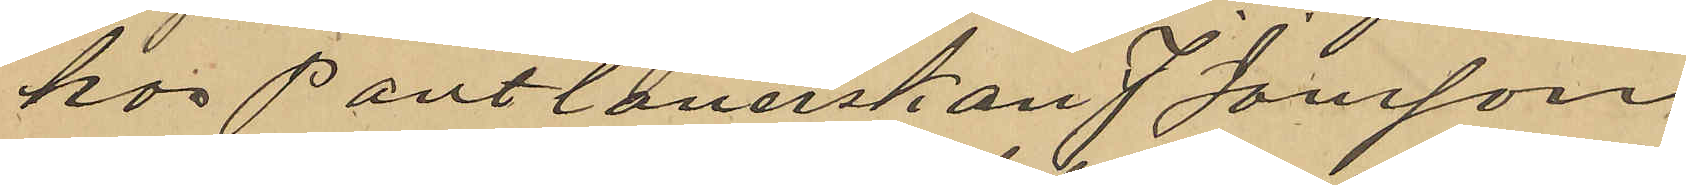hos Pantlånerskan J Jonsson,
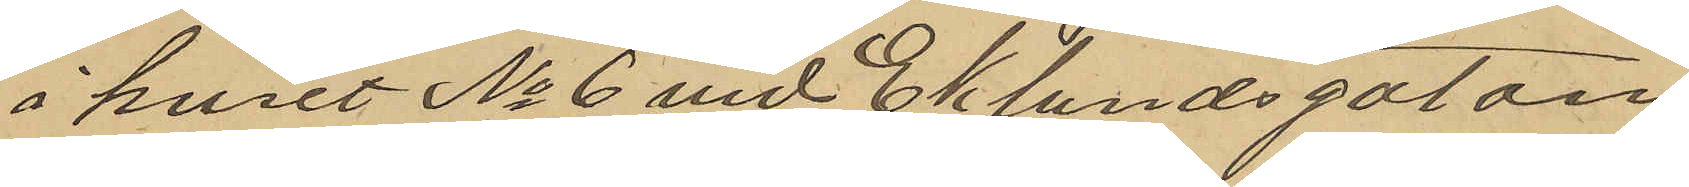i huset No 6 vid Eklundsgatan,
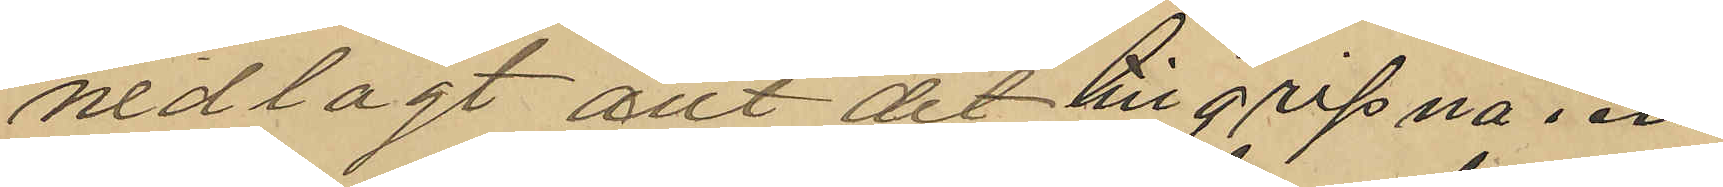nedlagt allt det tillgripna i en
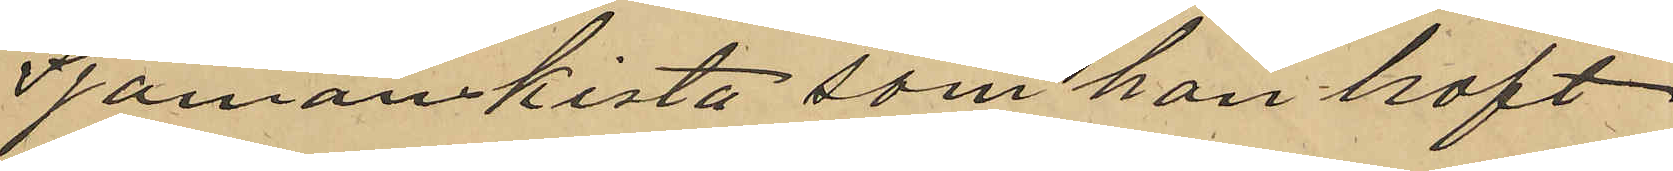Sjömanskista som han haft
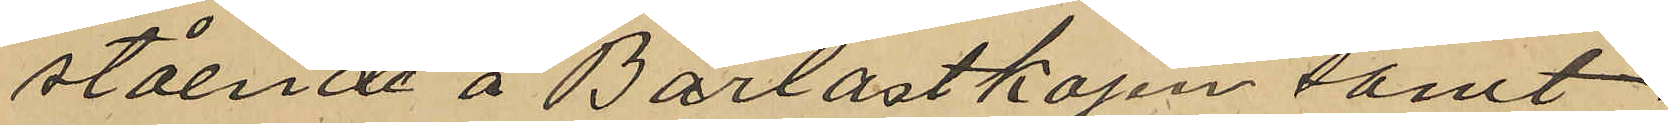stående å Barlastkajen samt
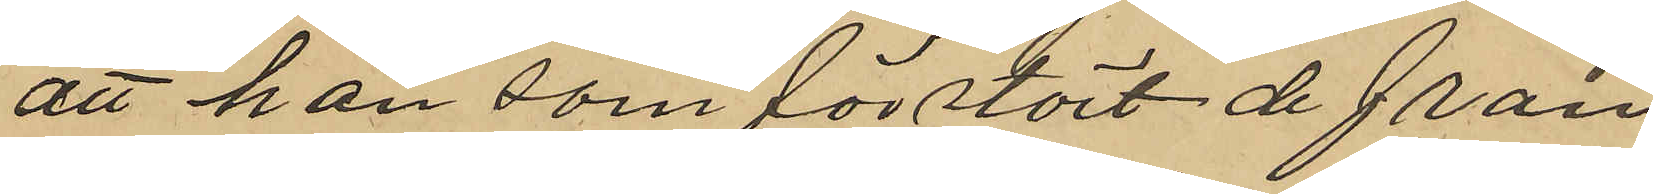att han som förstört de från
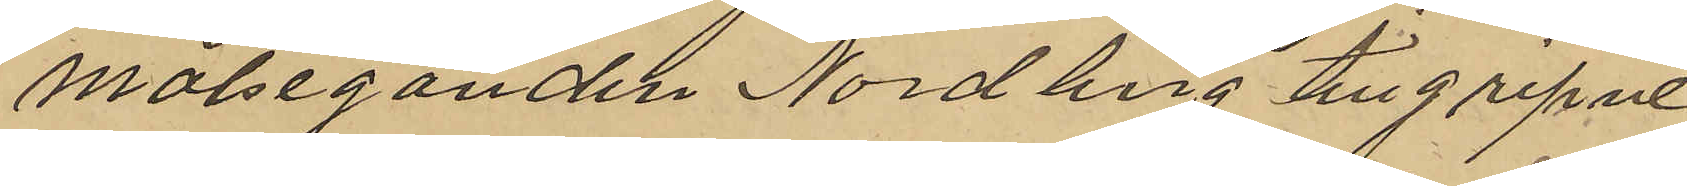Målseganden Nordling tillgripne
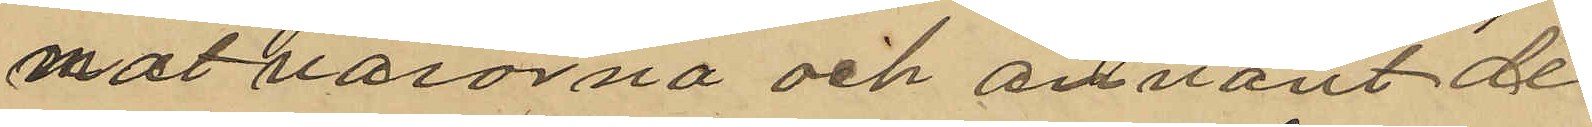matvarorna och använt de
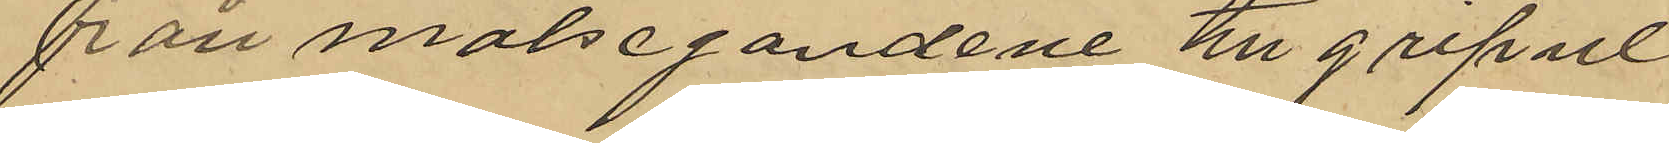från målsegandene tillgripne
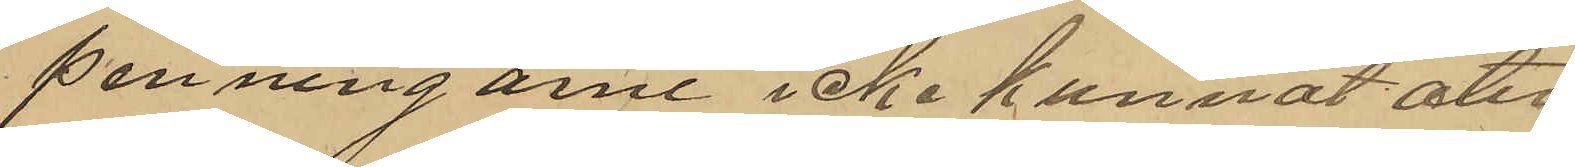penningarne icke kunnat åter¬
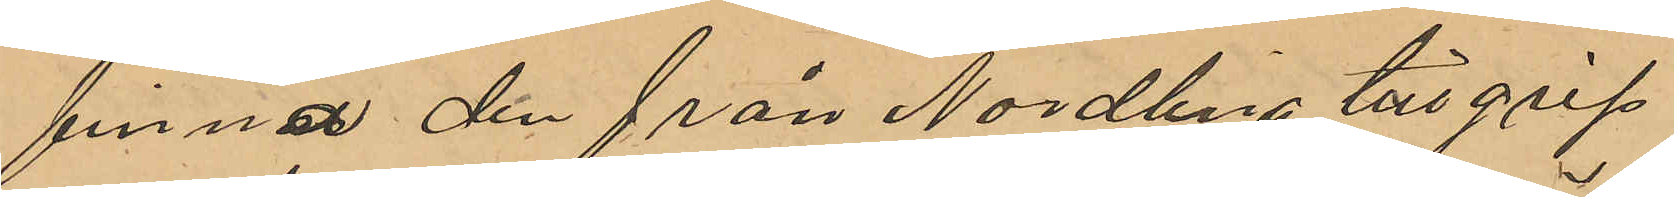finna den från Nordling tillgrip¬
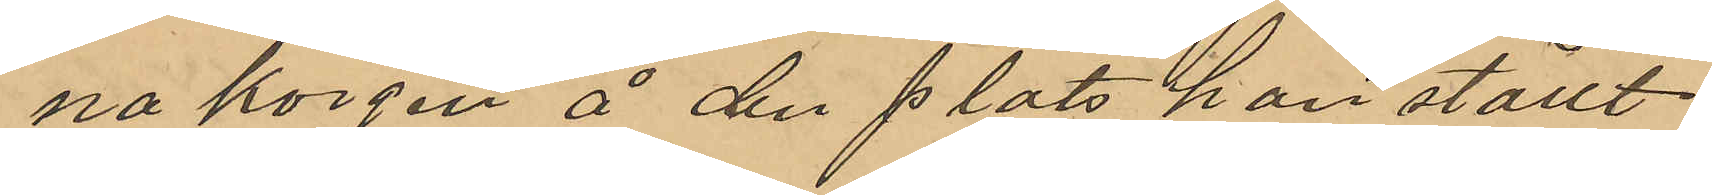na korgen å den plats han ställt
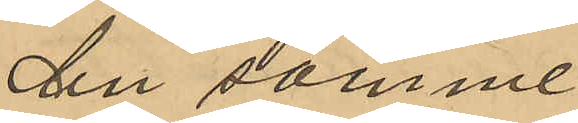den samme
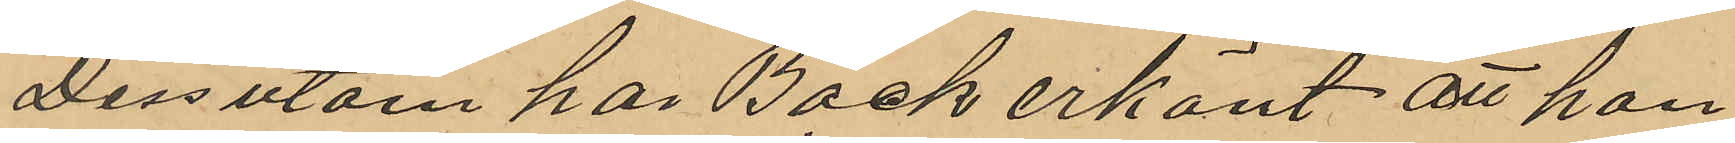Dessutom har Bäck erkänt att han
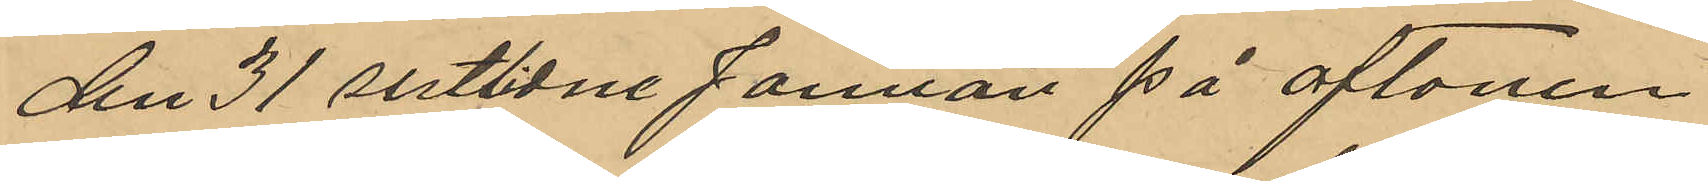den 31 sistlidne Januari på aftonen
